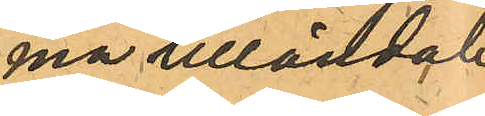ma tilländalu¬
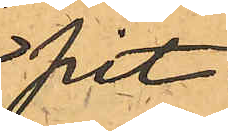pit.
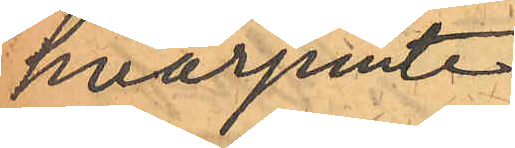hvarjemte
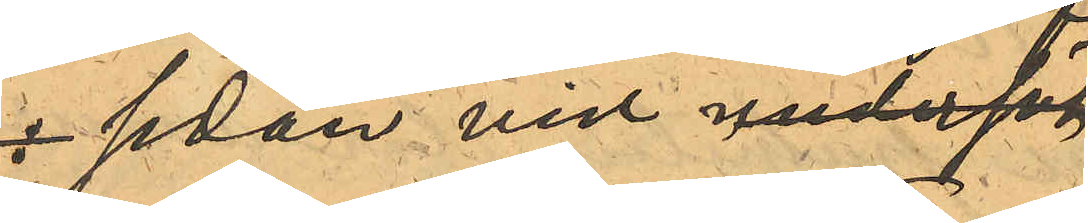sedan vid undersök¬
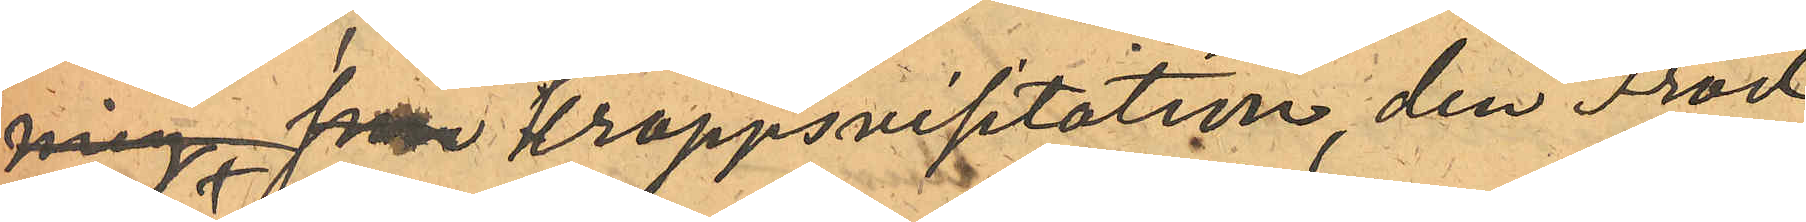ning från kroppsvisitation, den Frod¬
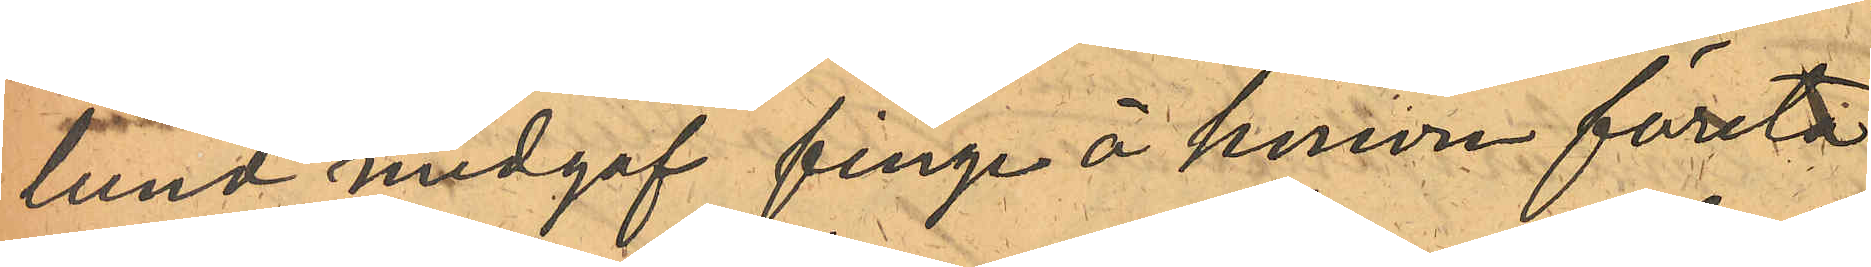lund medgaf finge å honsom företa¬
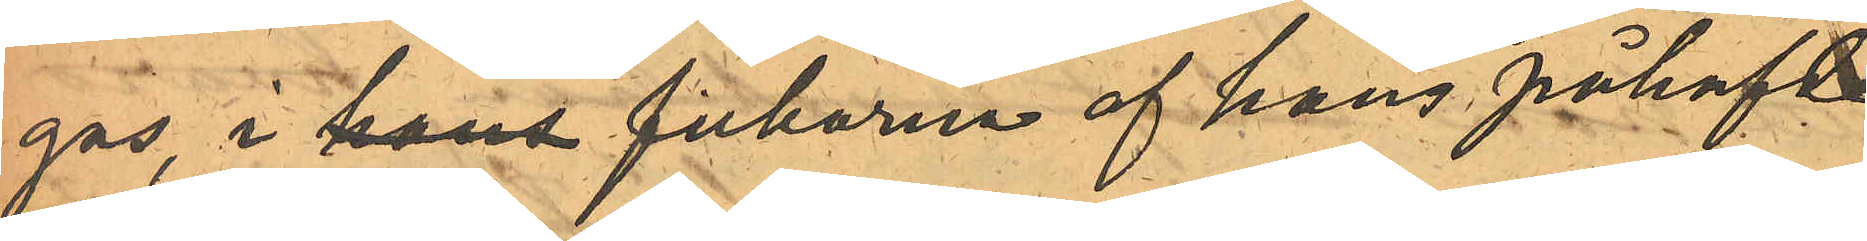gas i hans fickorna af hans påhafde
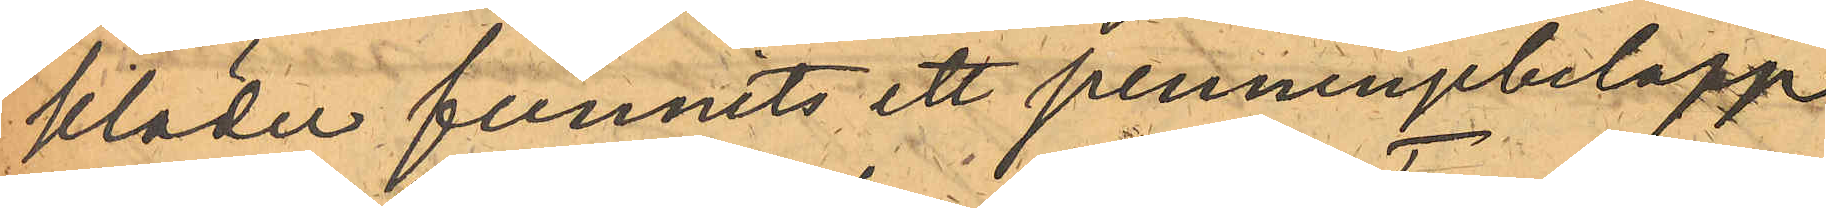kläder funnits ett penningsbelopp
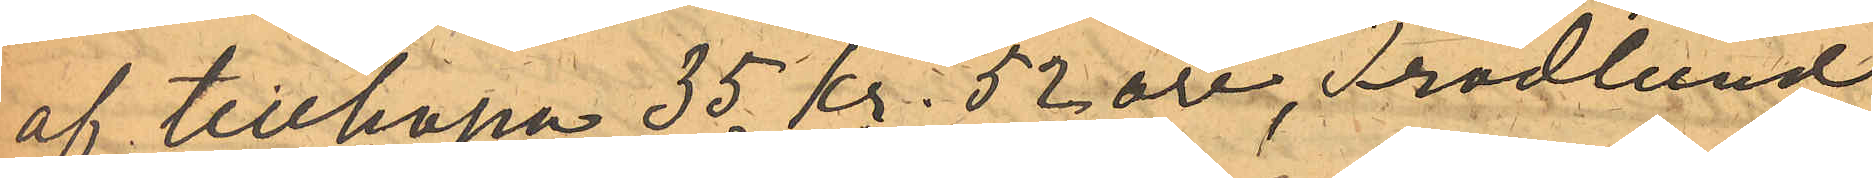af tillhopa 35 kr. 52 öre, Frodlund
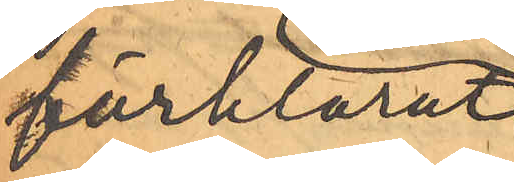förklarat
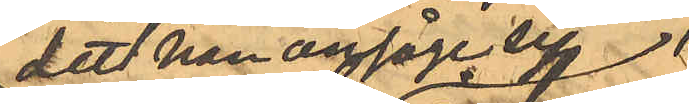det han ansåge sig 
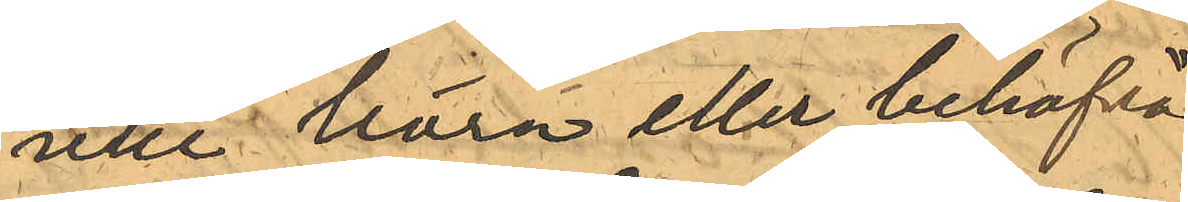icke "böra eller behöfva"
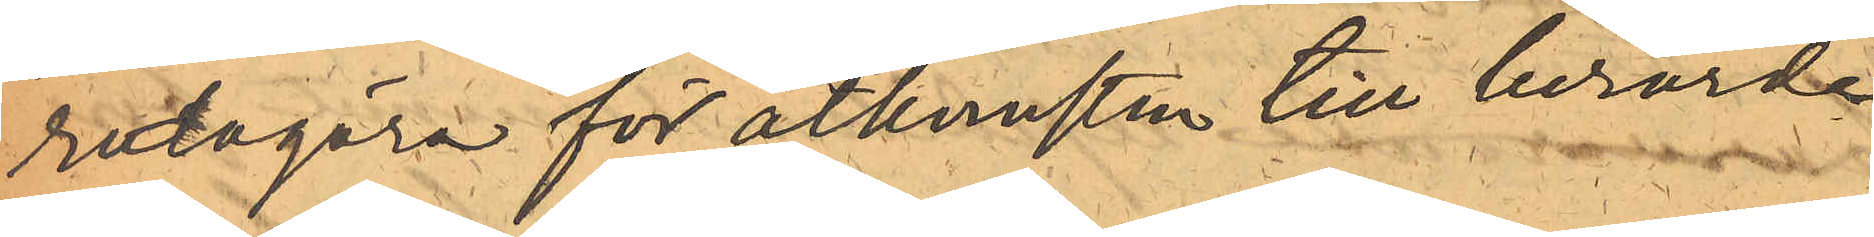redogöra för åtkomsten till berörde
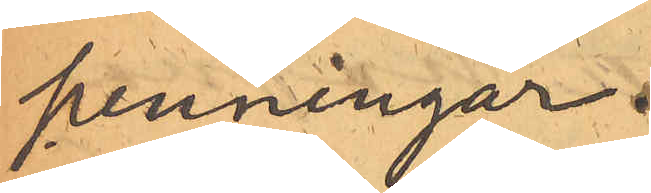penningar.
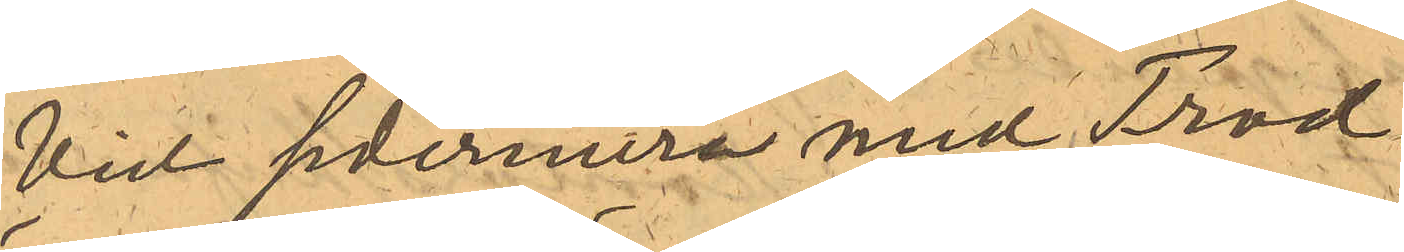Vid sedermera med Frod¬
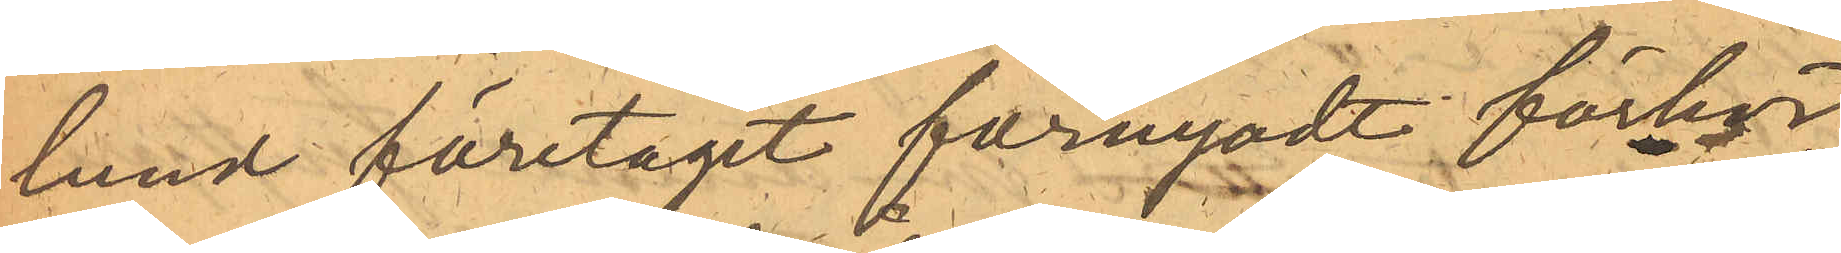lund företaget förnyadt förhör
